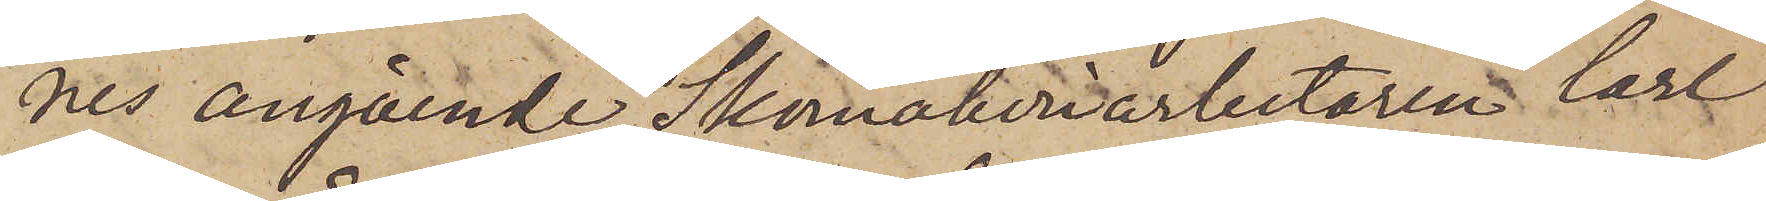nes angående Skomakeriarbetaren Carl
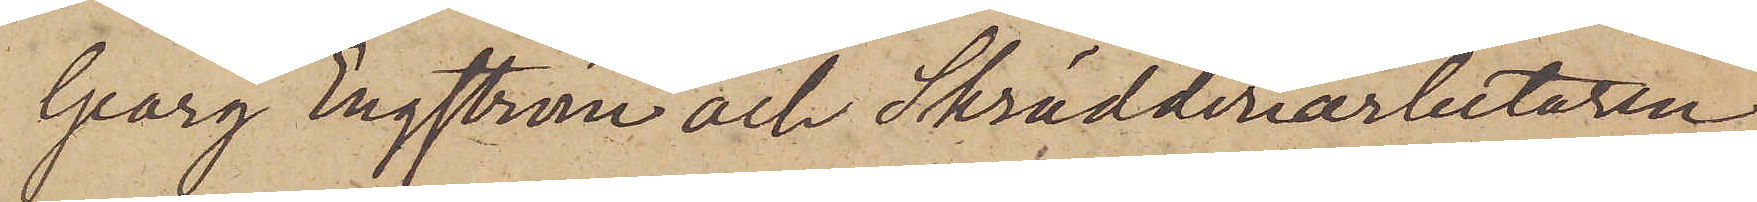Georg Engström och Skrädderiarbetaren
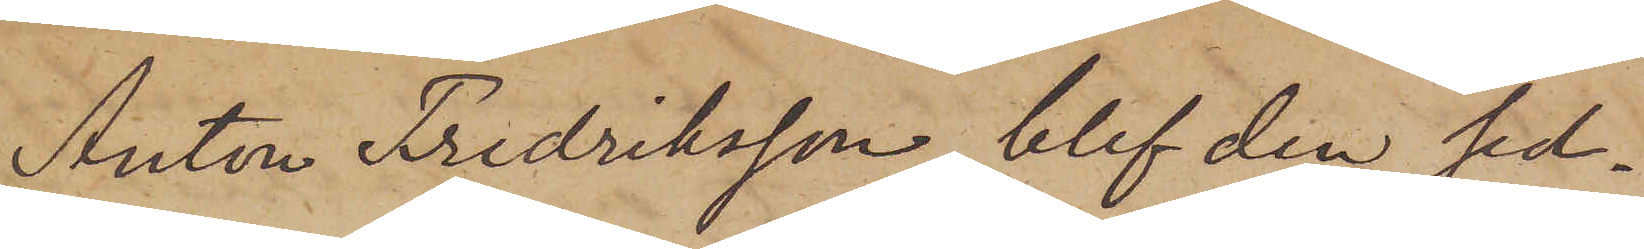Anton Fredriksson, blef den sed¬
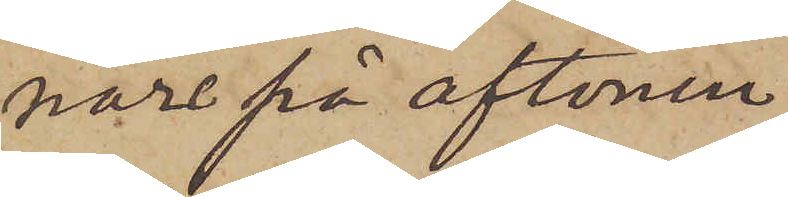nare på aftonen
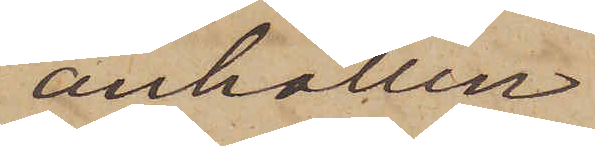anhållen
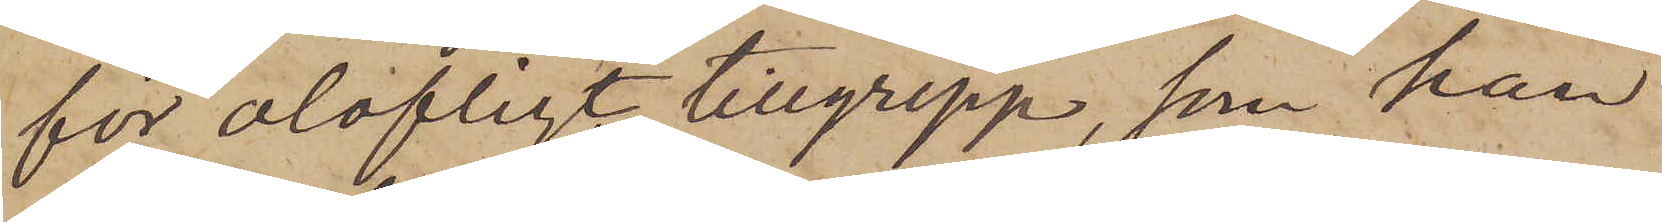för olofligt tillgrepp, som han
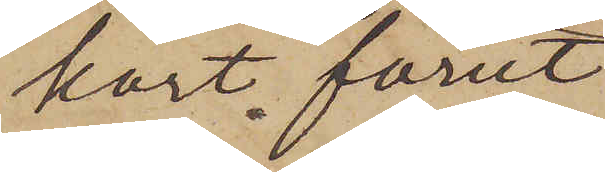kort förut
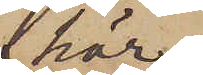här
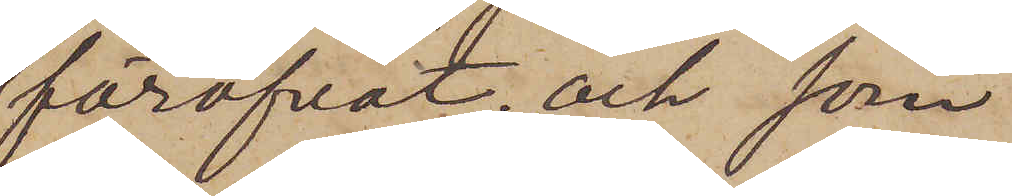föröfvat; och sorn
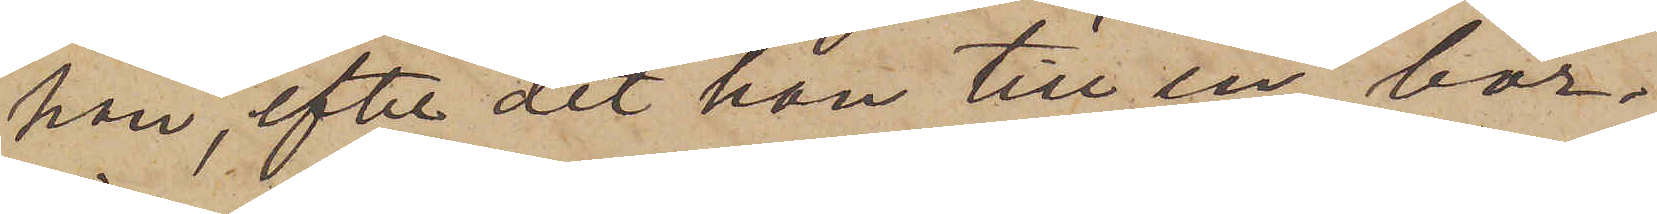han, efter det han till en bör¬
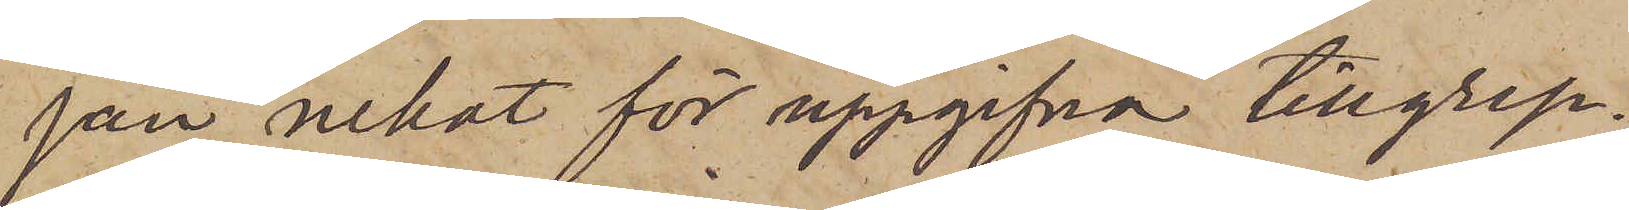jan nekat för uppgifna tillgrep¬
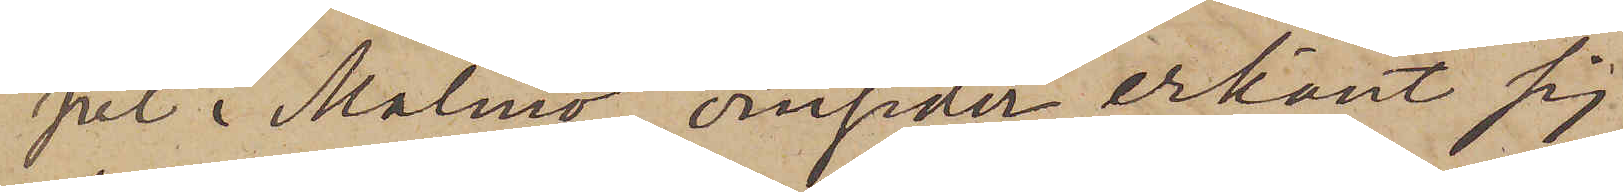pet i Malmö, omsider erkänt sig
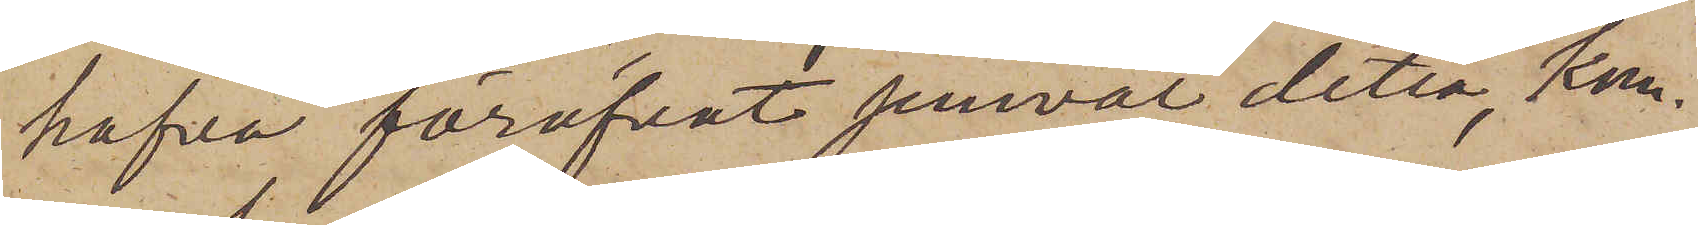hafva föröfvat jemväl detta, kon¬
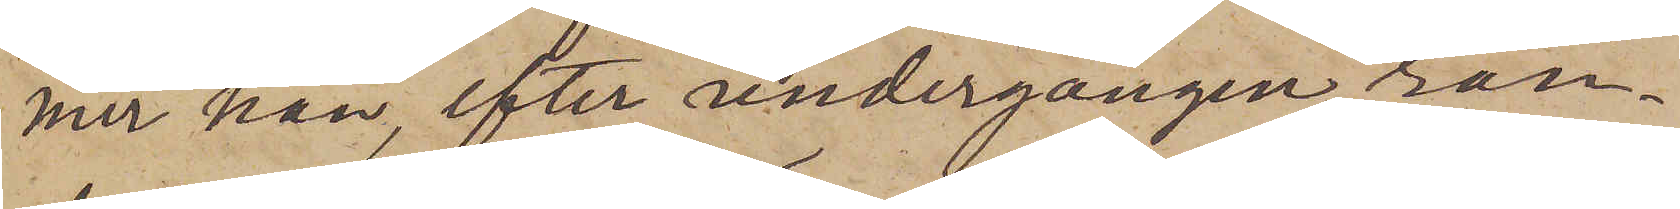mer han, efter undergången ran¬
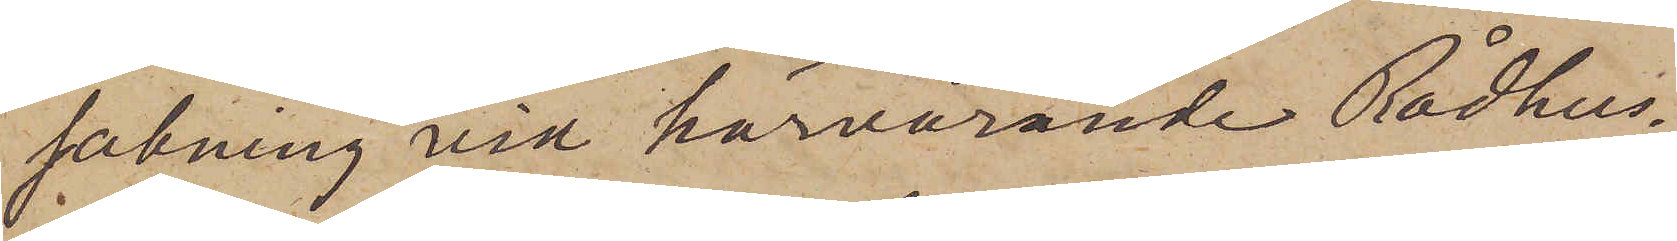sakning vid härvarande Rådhus¬
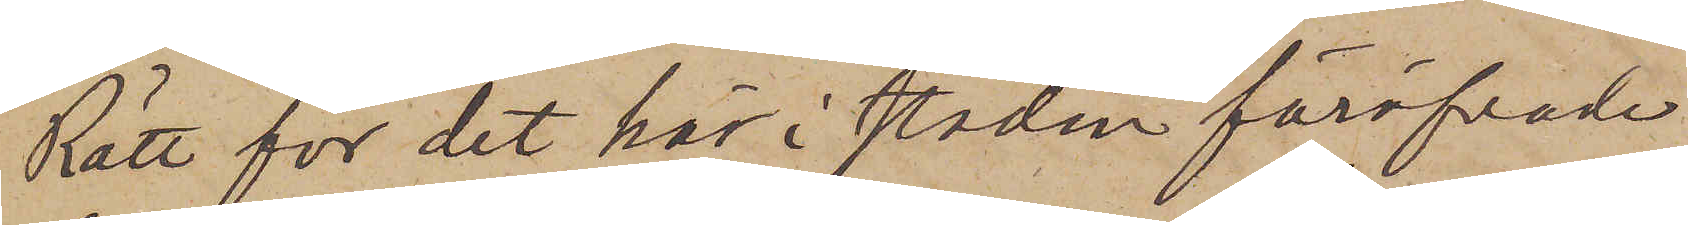Rätt för det här i staden föröfvade
